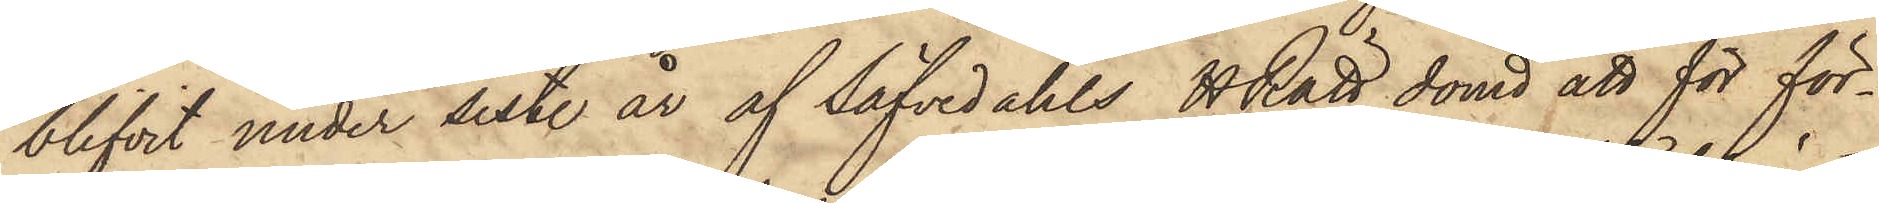blifvit under sistl. år af Säfvedahls HRätt dömd att för för¬
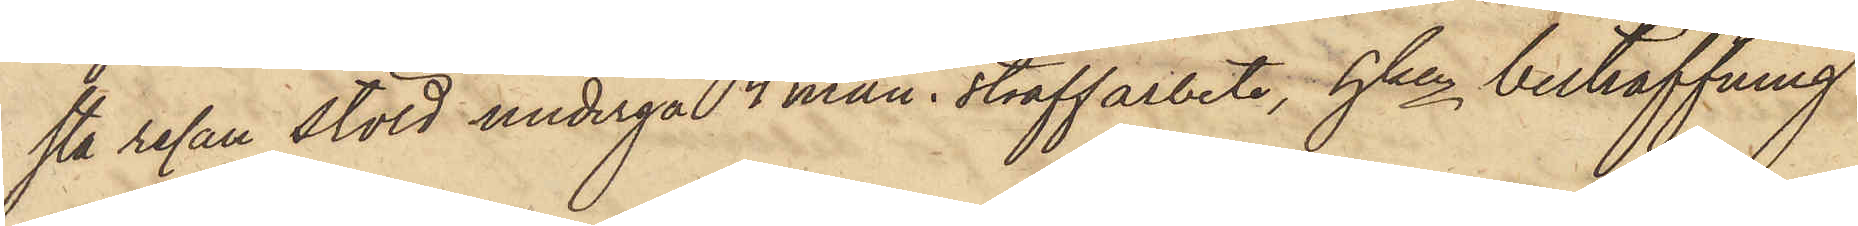sta resan stöld undergå 4 mån. straffarbete, hken bestraffning
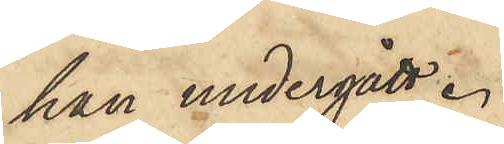han undergått.
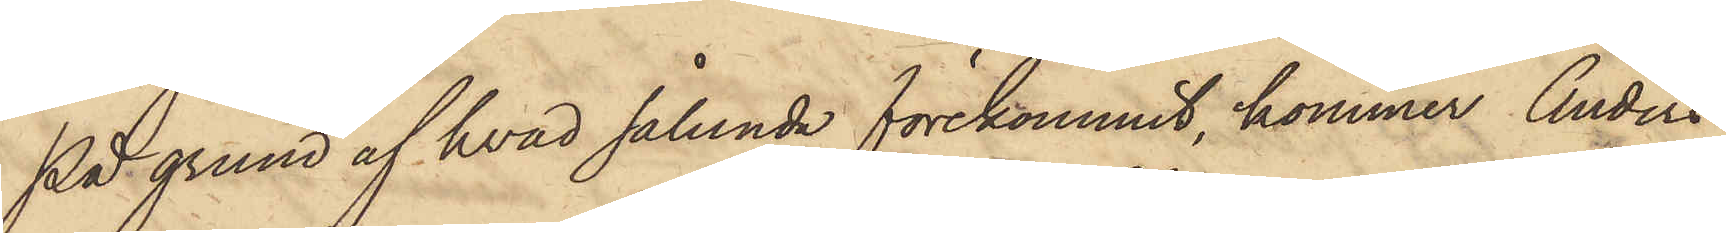På grund af hvad sålunda förekommit, kommer Anders
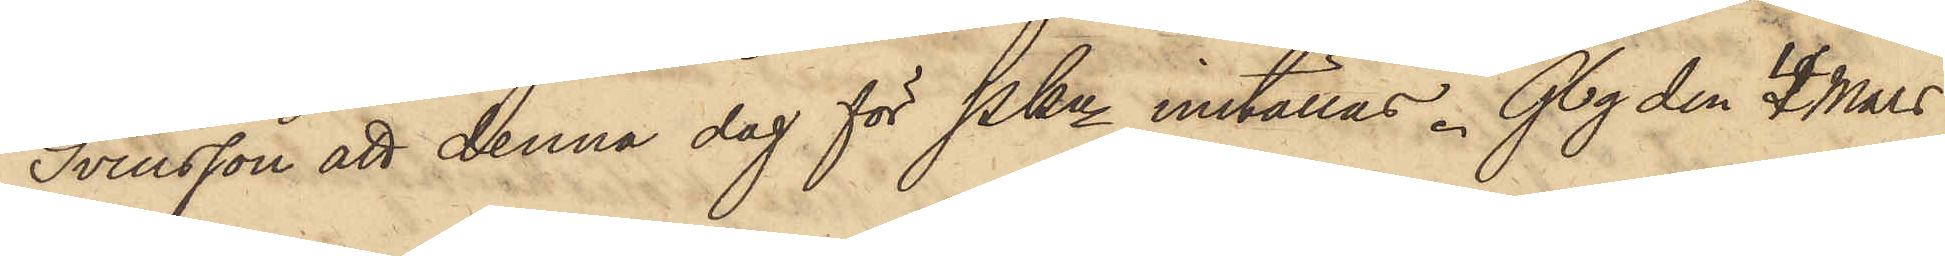Svensson att denna dag för PKn inställas. Gbg den 4 Mars
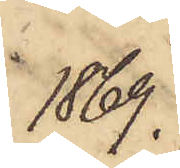1869.
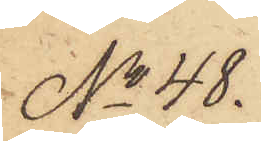No 48.
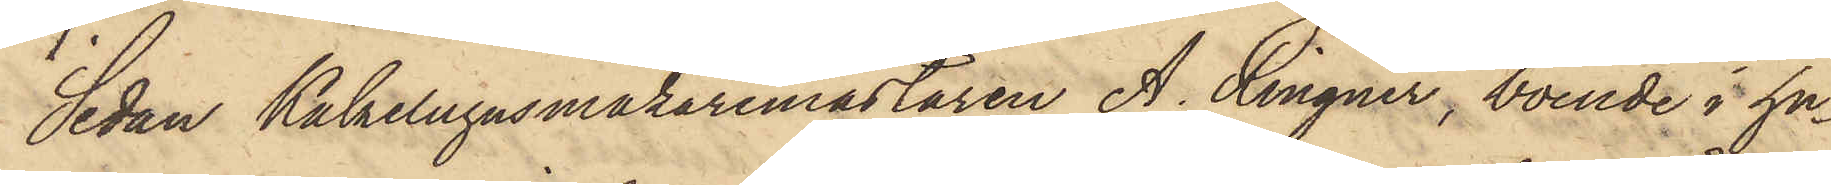Sedan Kakelugnsmakaremästaren A. Ringner, boende i hu¬
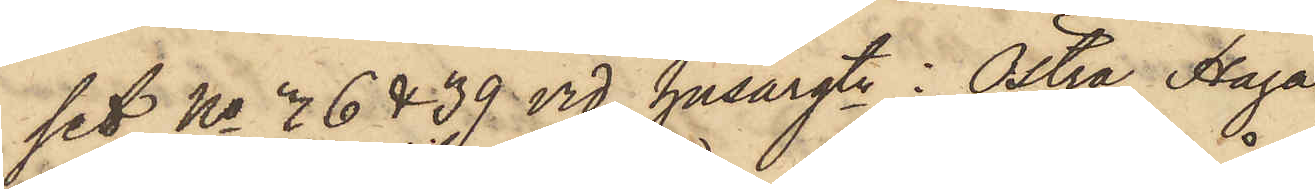set No 36 & 39 vid husargtn i Östra Haga
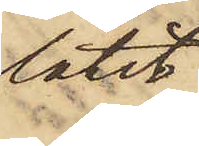låtit
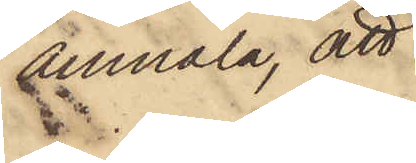anmäla, att
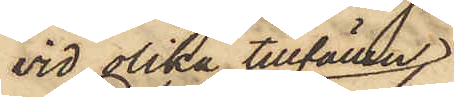vid olika tillfällen
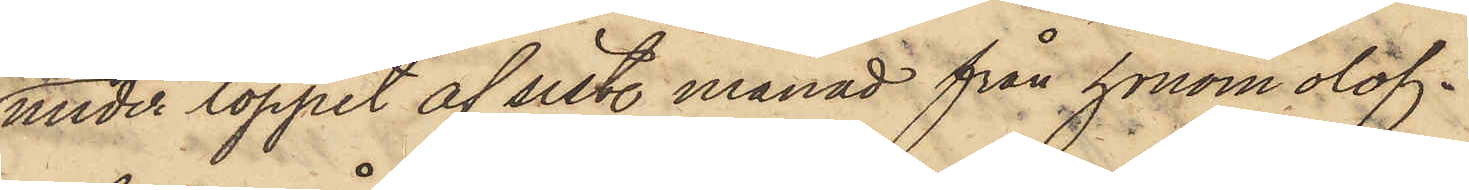under loppet af sist. månad från honom olof¬
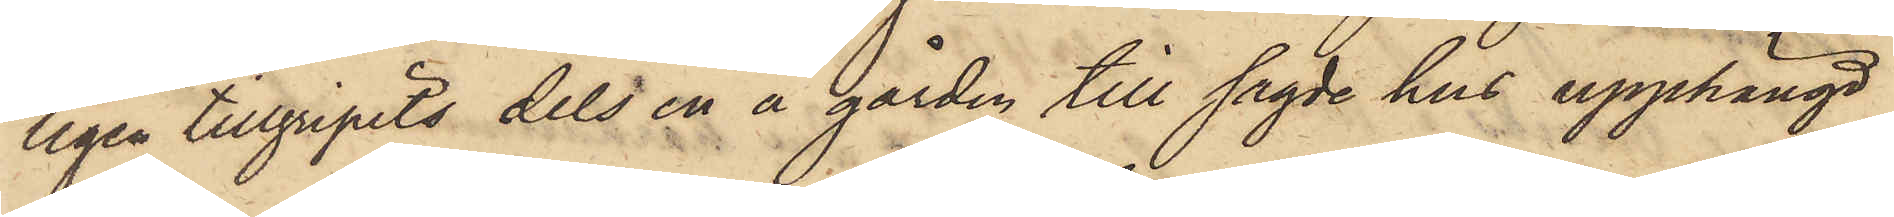ligen tillgripits dels en å gården till sagde hus upphängd
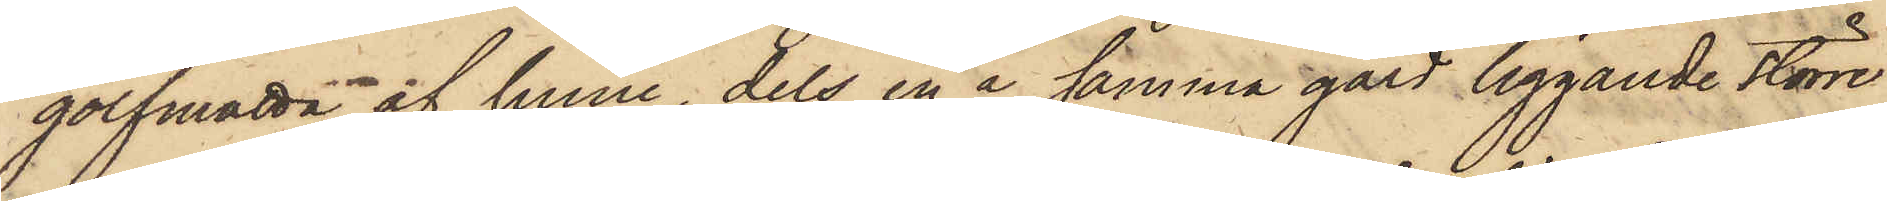golfmatta af linne, dels en å samma gård liggande större
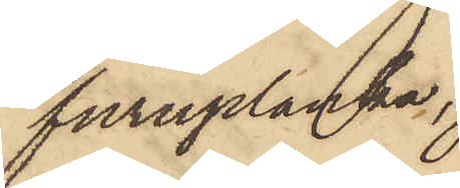furuplanka,
